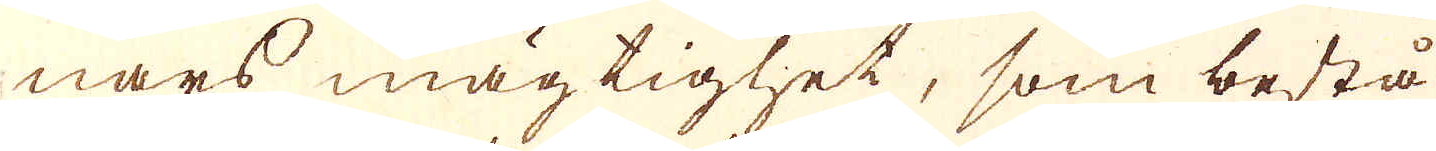nars mägtighet, som bestå
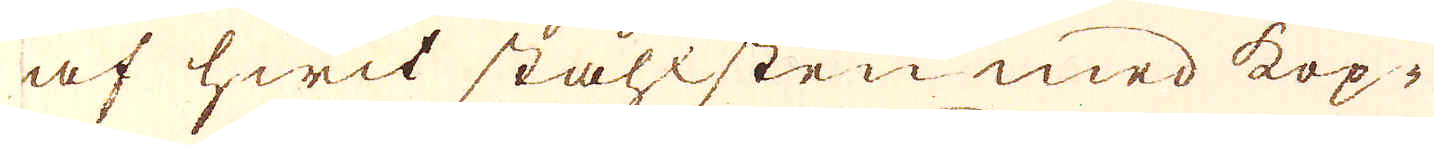af hwit ståhlsten med kop-
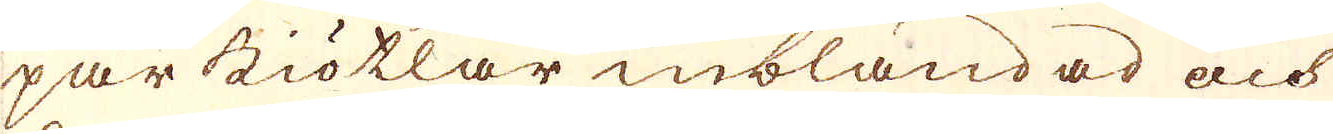par kiötlar inblandad och
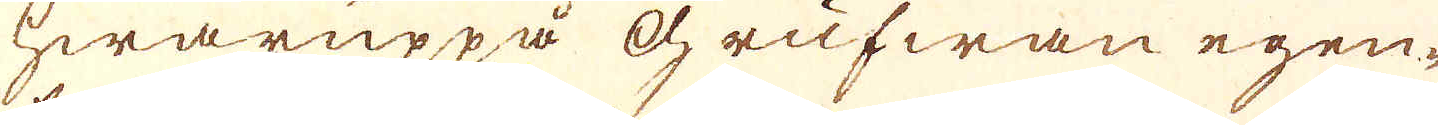hwaruppå Grufwan egen-
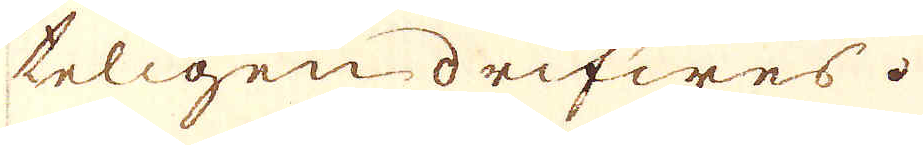teligen drifwes.
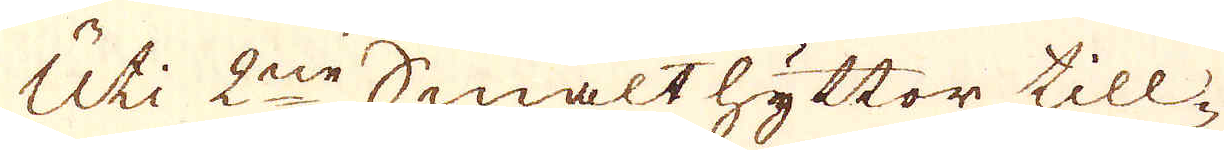Uti 2ne Smälthyttor till-
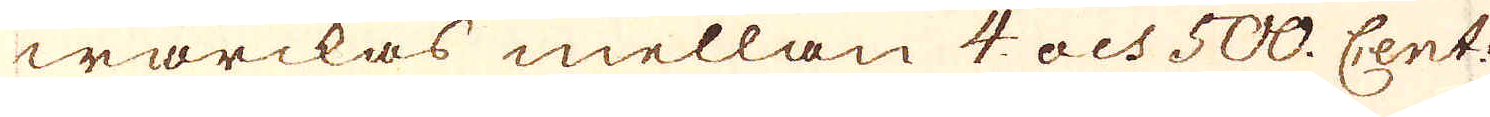wärckas mellan 4. och 500. Cent:
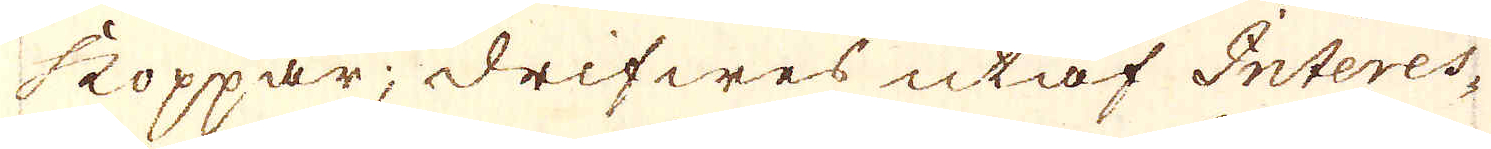koppar, drifwes utaf Interes-
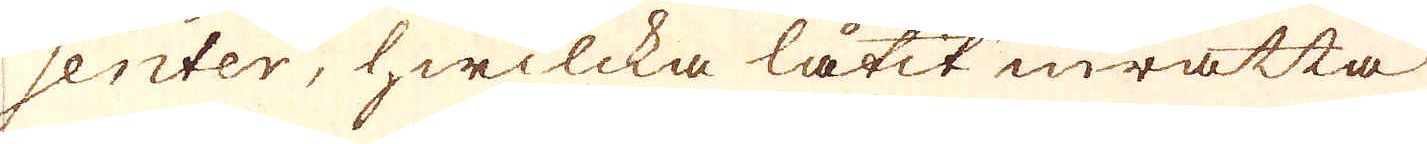senter, hwilcka låtit inrätta
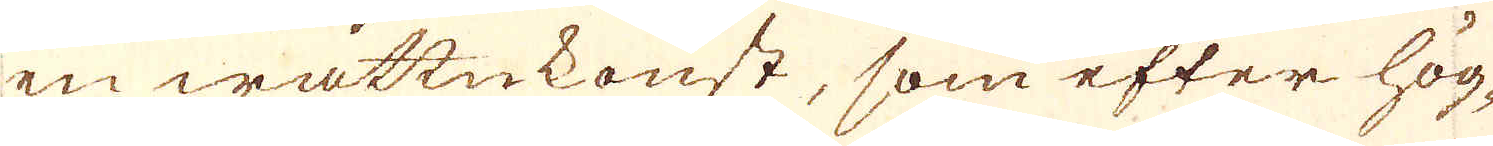en wattukonst, som efter hög-
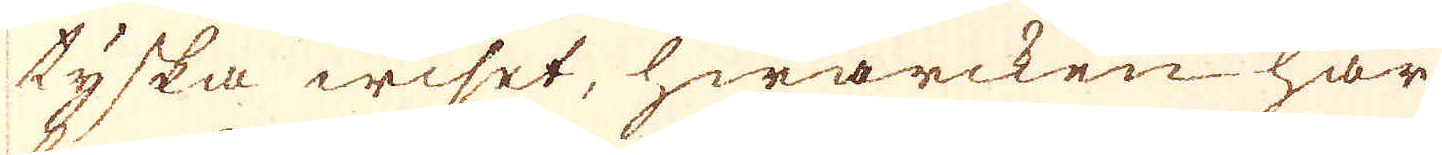tyska wiset, hwarcken har
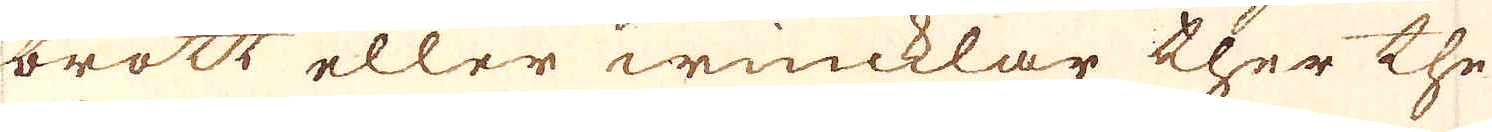brott eller wincklar ther the
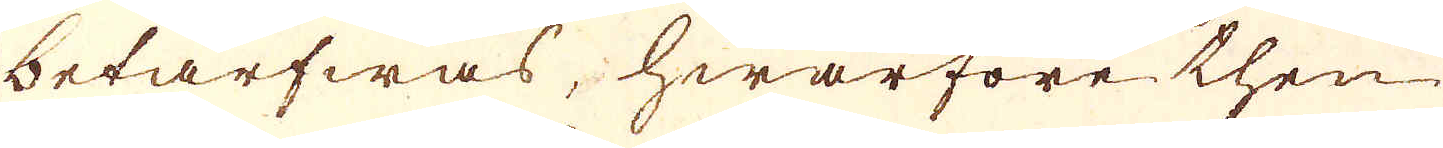betarfwas, hwarföre then
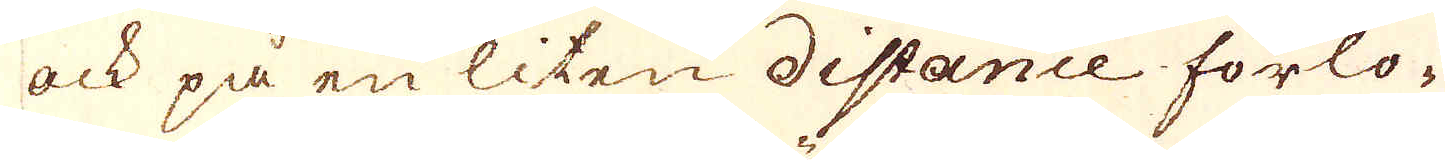ock på en liten distance förlo-
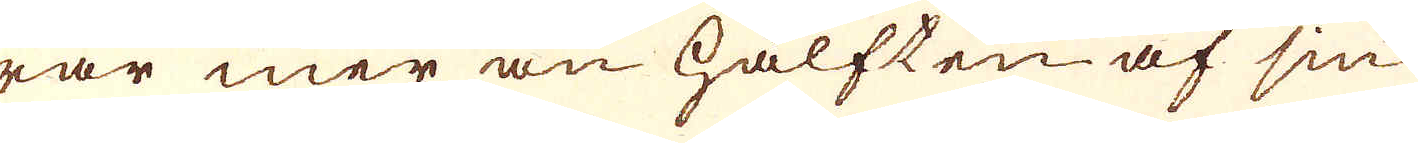rar mer än hälften af sin
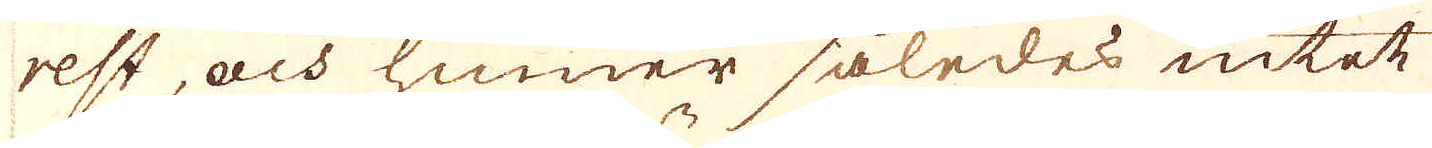rest, och hinner således intet
